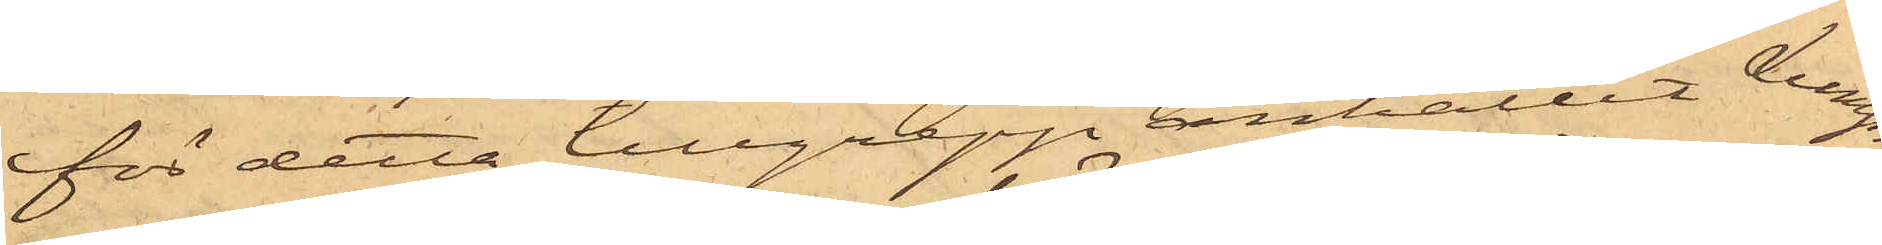för detta tillgrepp anhållit Lump¬
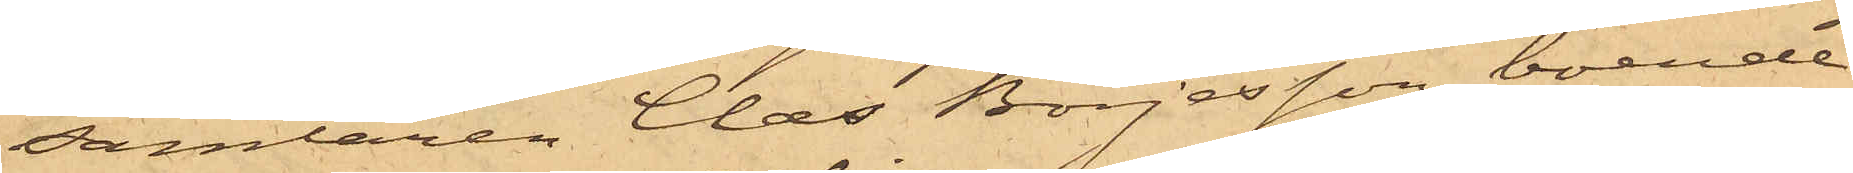samlaren Claes Börjesson, boende
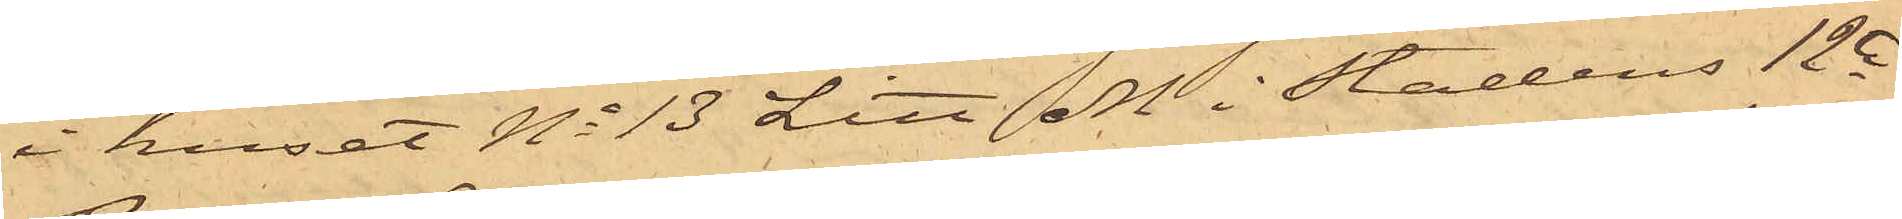i huset No 13 Litt M i Stadens 12te
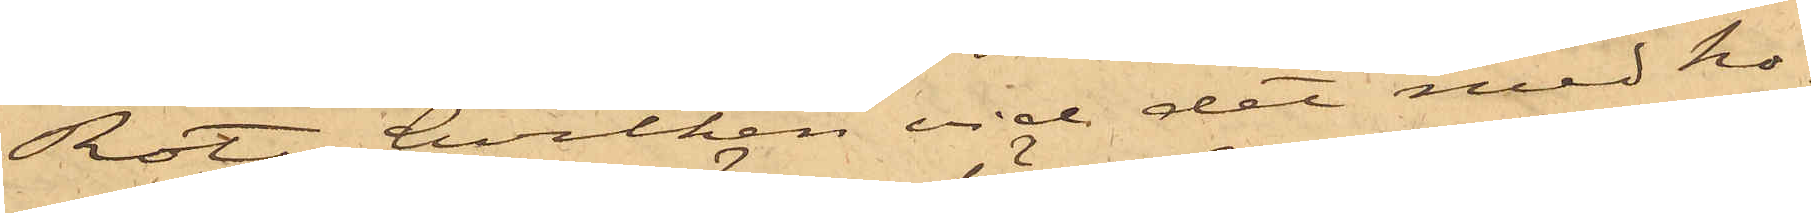Rote, hvilken vid det med ho¬
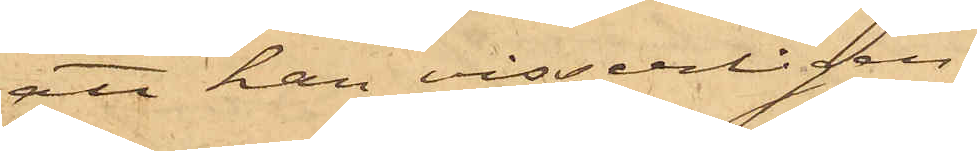att han visserligen
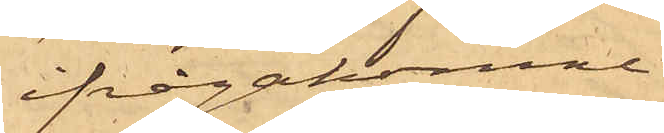ifrågakomne
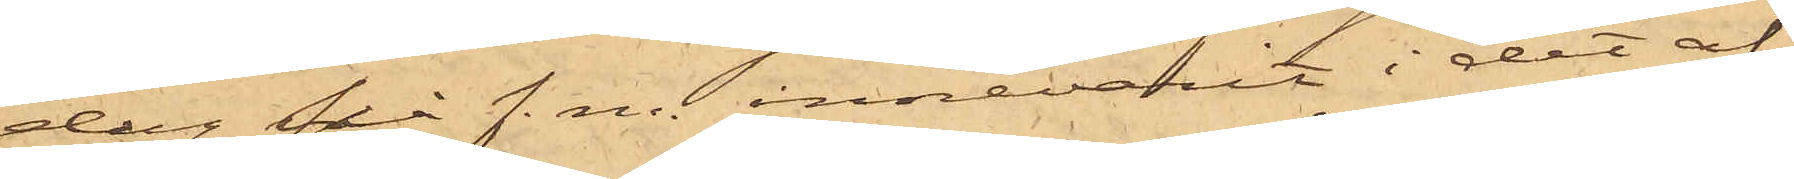dag på f. m. innevarit i det af
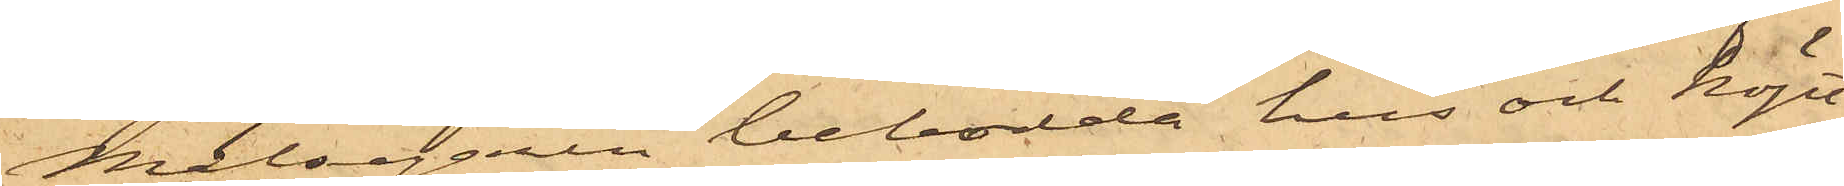Målsegaren bebodda hus och köpt
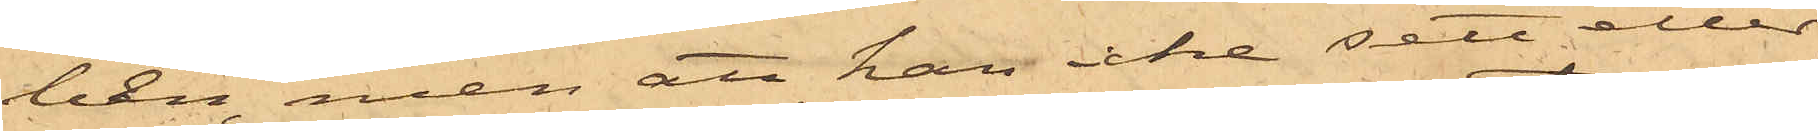ben, men att han icke sett eller
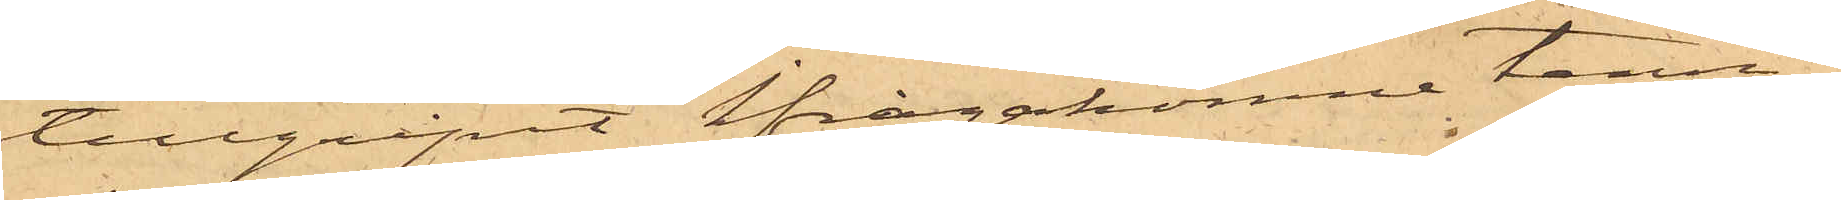tillgripit ifrågakomne tenn¬
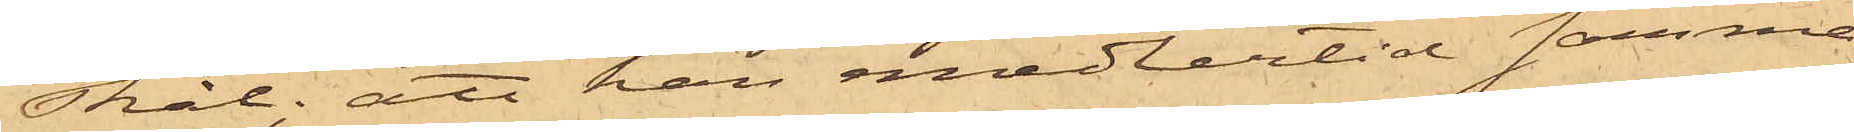skål; att han emedlertid samma
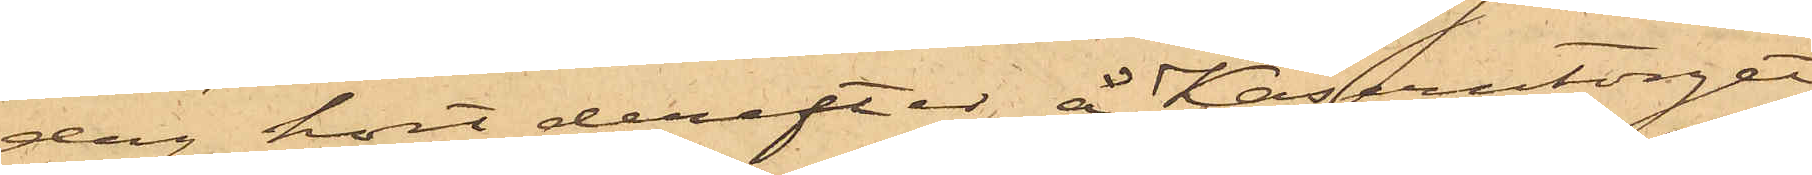dag kort derefter å Kaserntorget
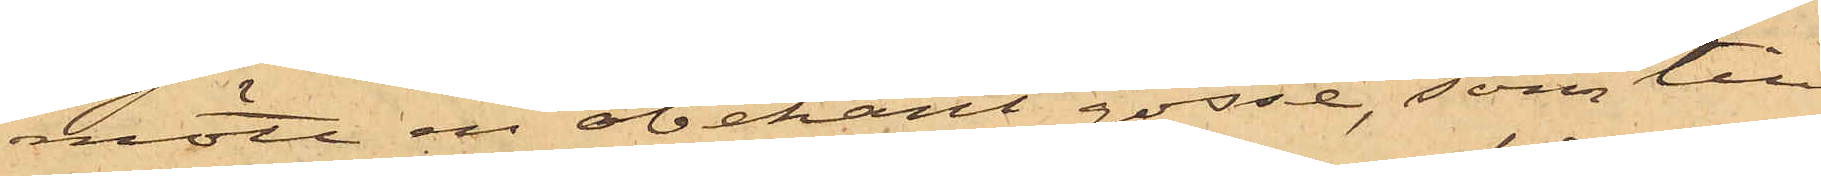mött en obekant gosse, som till
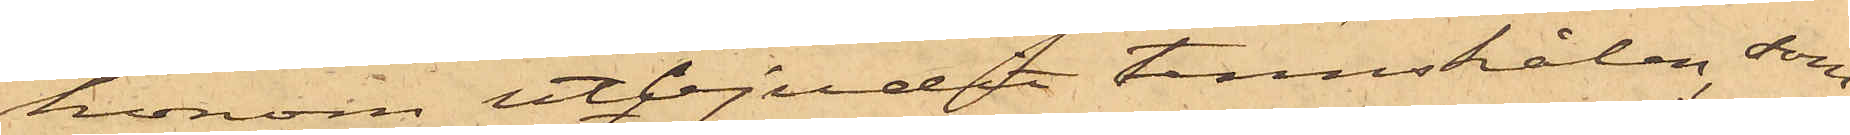honom utbjudit tennskålen, som
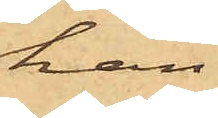han
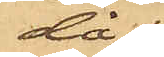då
